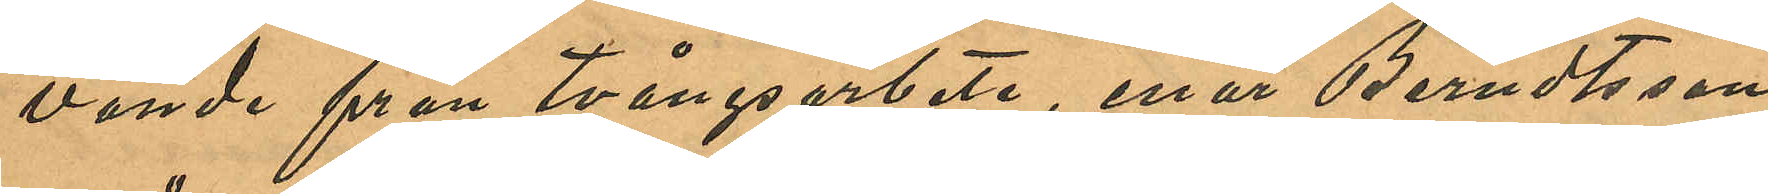vande från tvångsarbete, enär Berndtsson
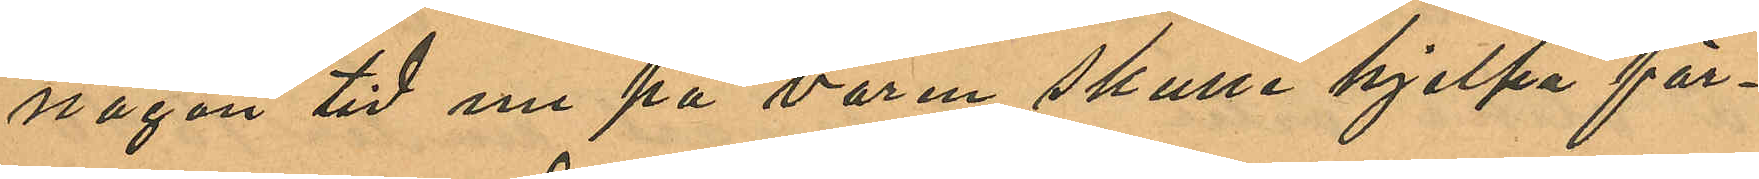någon tid nu på våren skulle hjelpa för¬
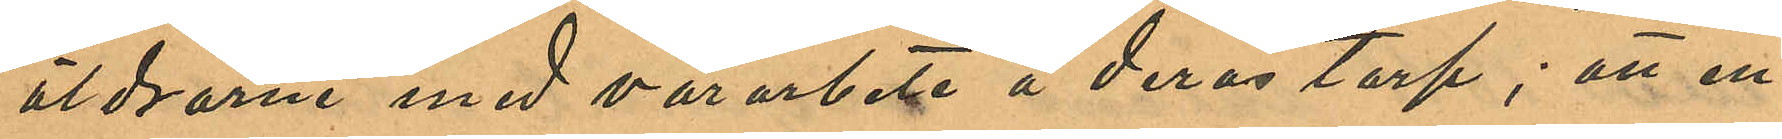äldrarne med vårarbete å deras torp; att en
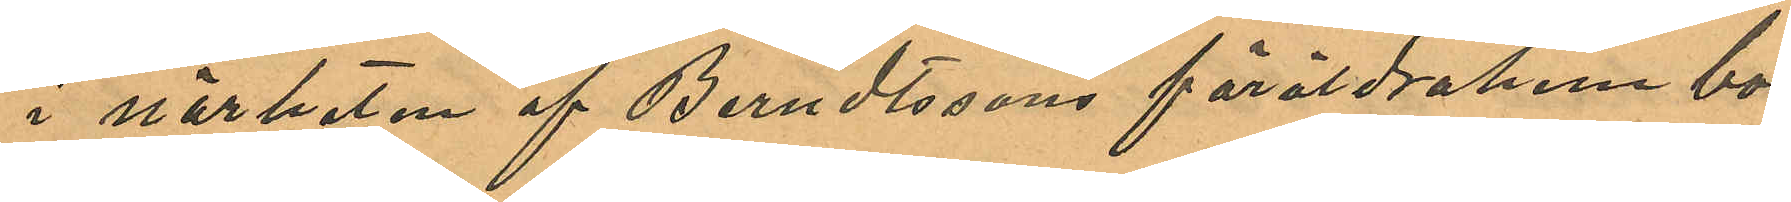i närheten af Berndtssons föräldrahem bo¬
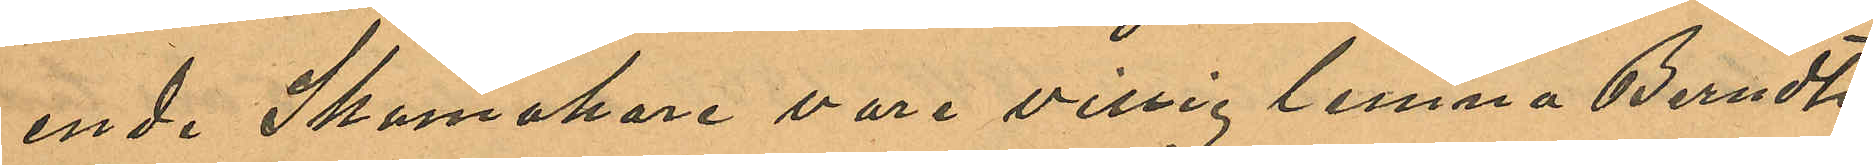ende Skomakare vore villig lemna Berndts¬
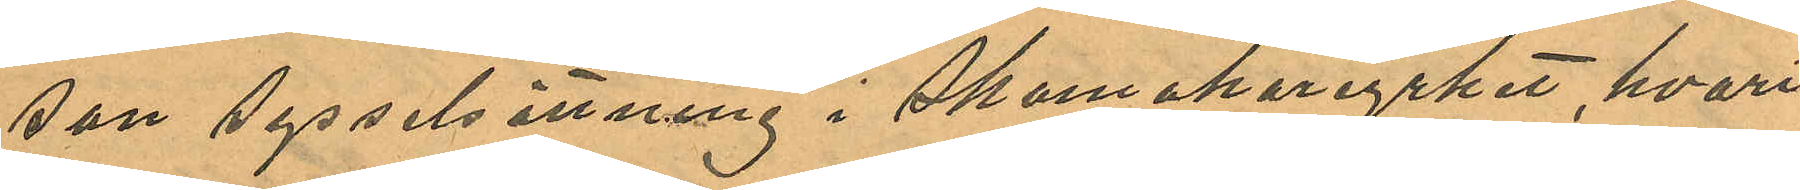son sysselsättning i Skomakareyrket, hvari
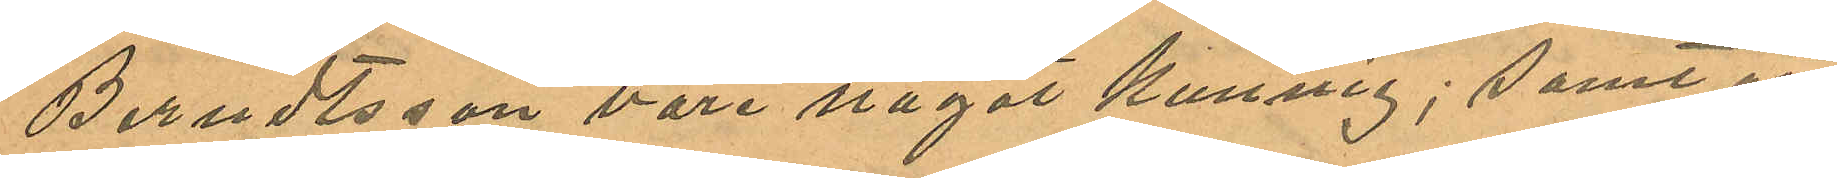Berndtsson vore något kunnig; samt att
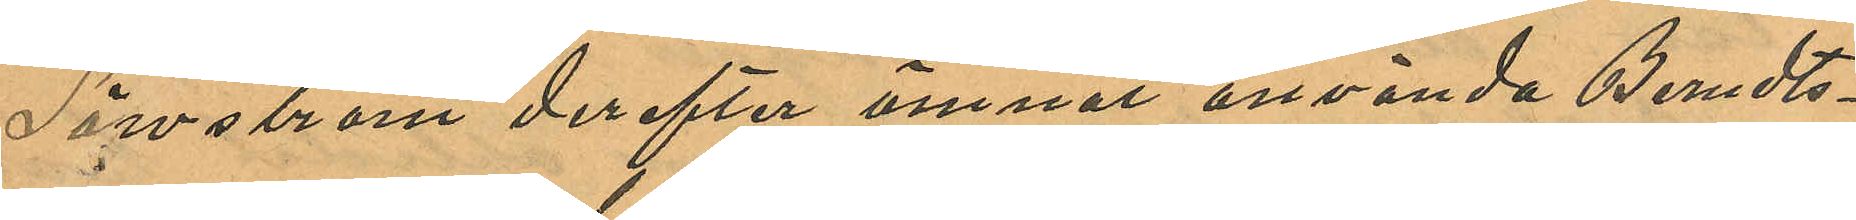Säwström derefter ämnat använda Berndts¬
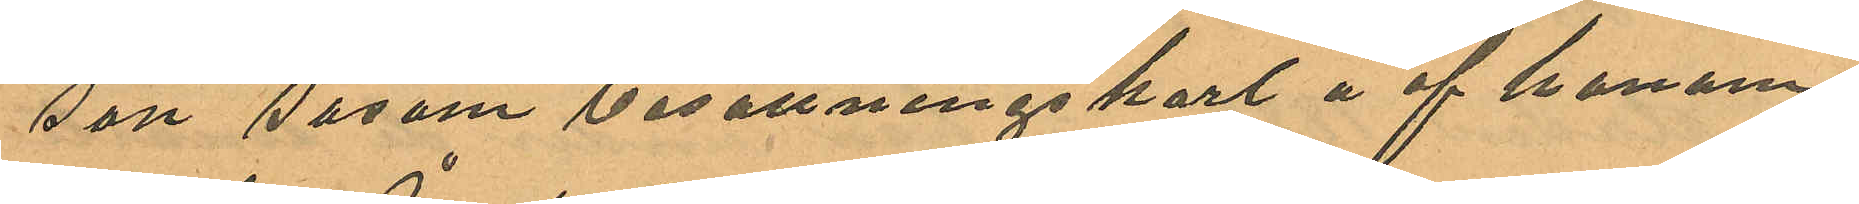son såsom besättningskarl å af honom
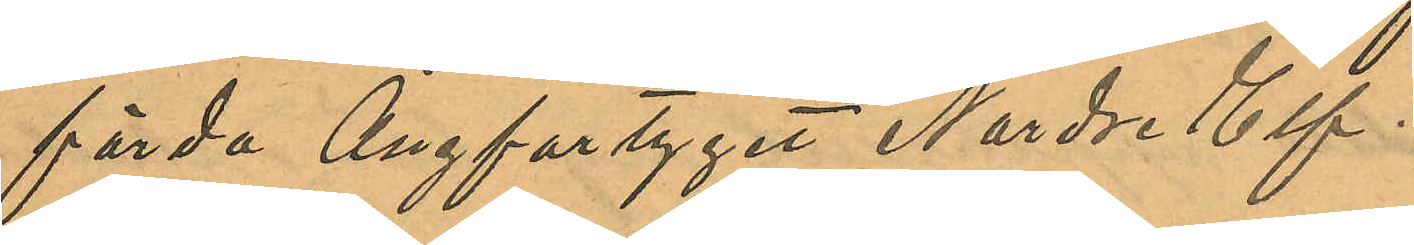förda Ångfartyget Nordre Elf.
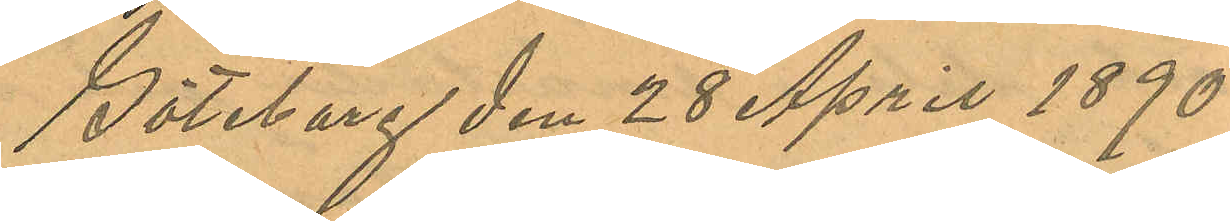Göteborg den 28 April 1890.
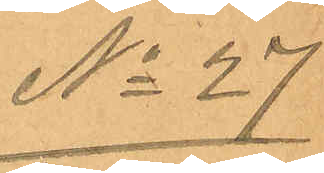No 27
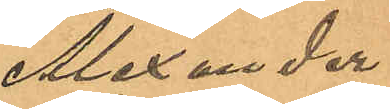Alexander
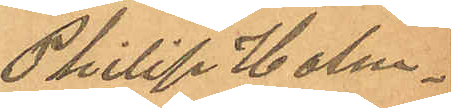Philip Holm¬
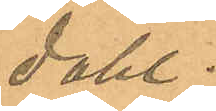dahl.
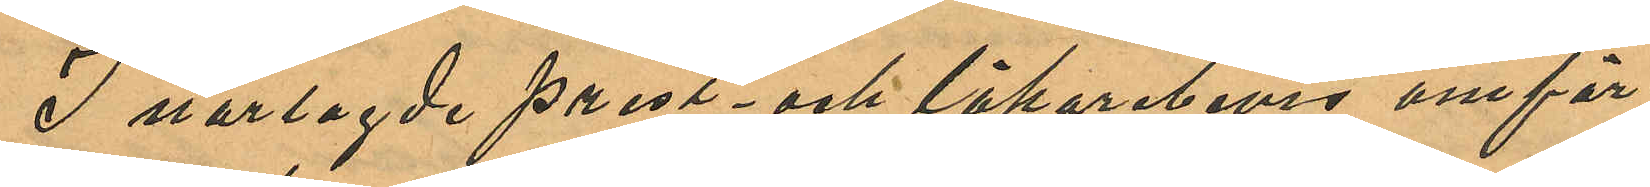I närlagde prest- och läkarebevis omför¬
